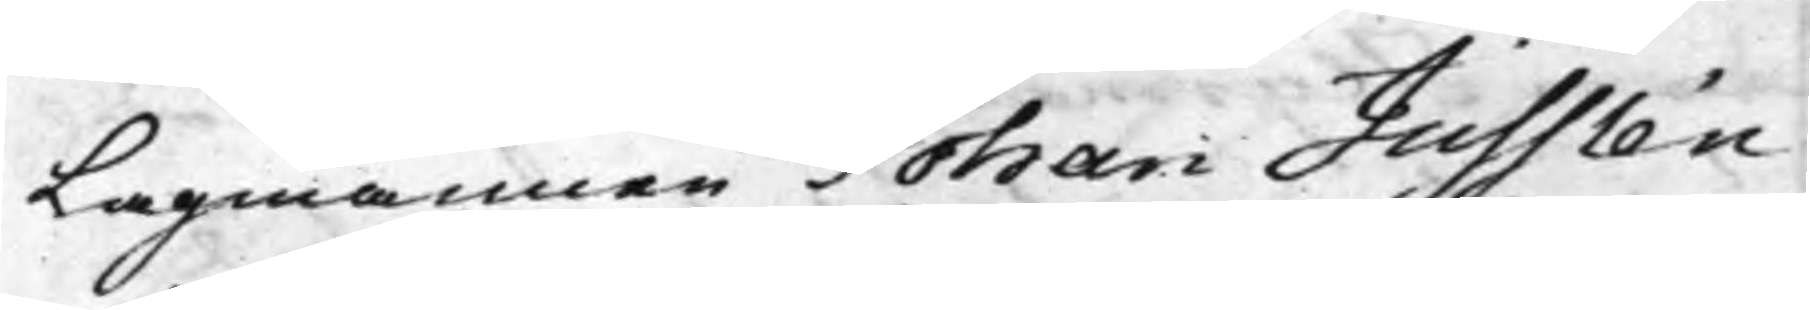Lagmannen Johan Jusslén,
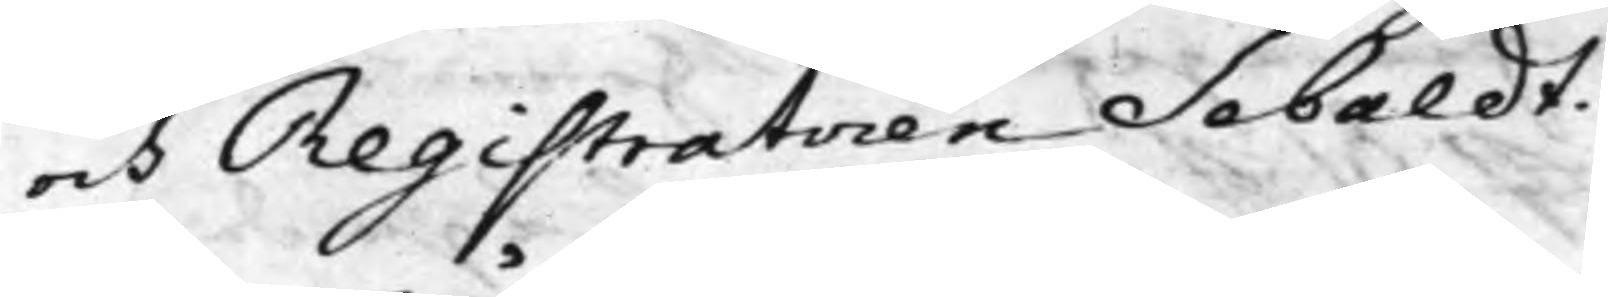och Registratoren Sebaldt.
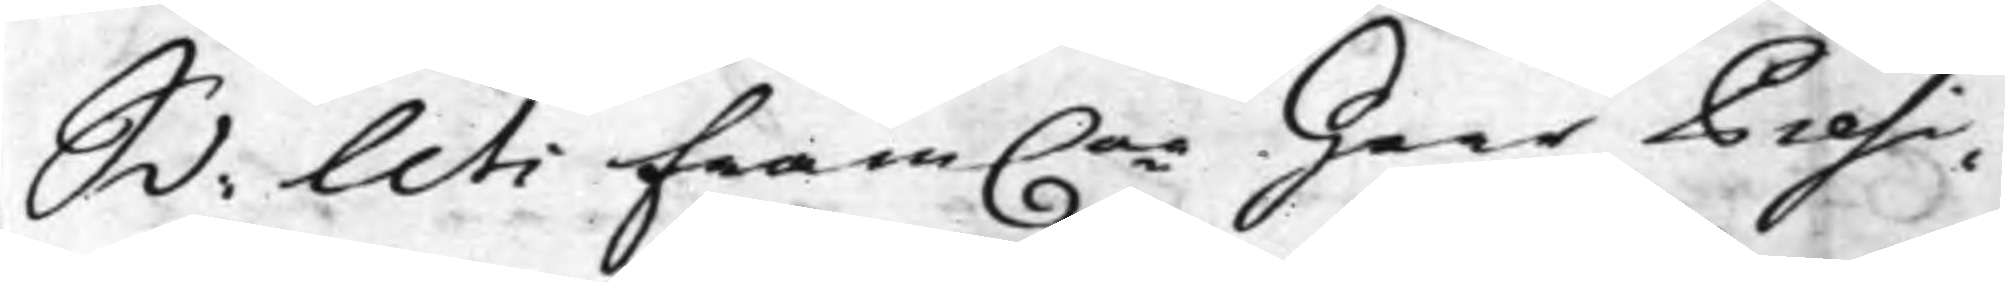S d: Uti fram.ne Herr Presi¬
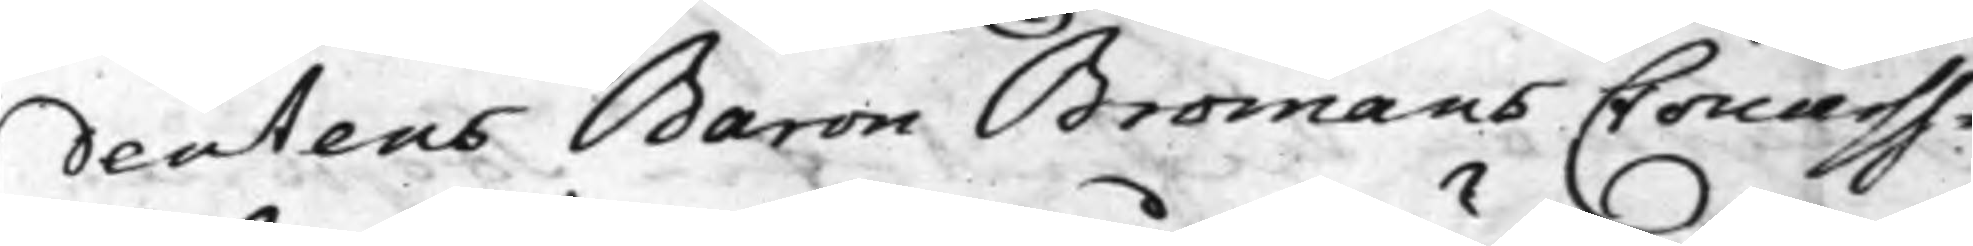dentens Baron Bromans Concurss¬
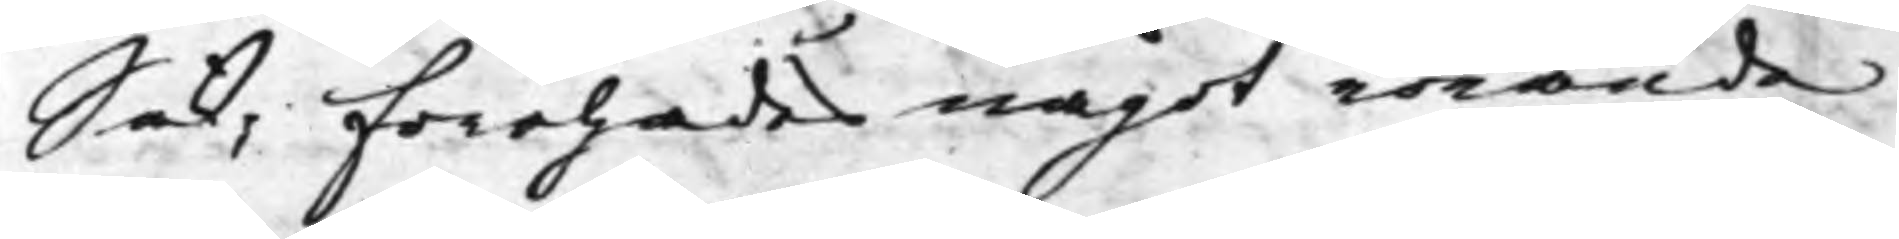Sak; Förehades något rörande
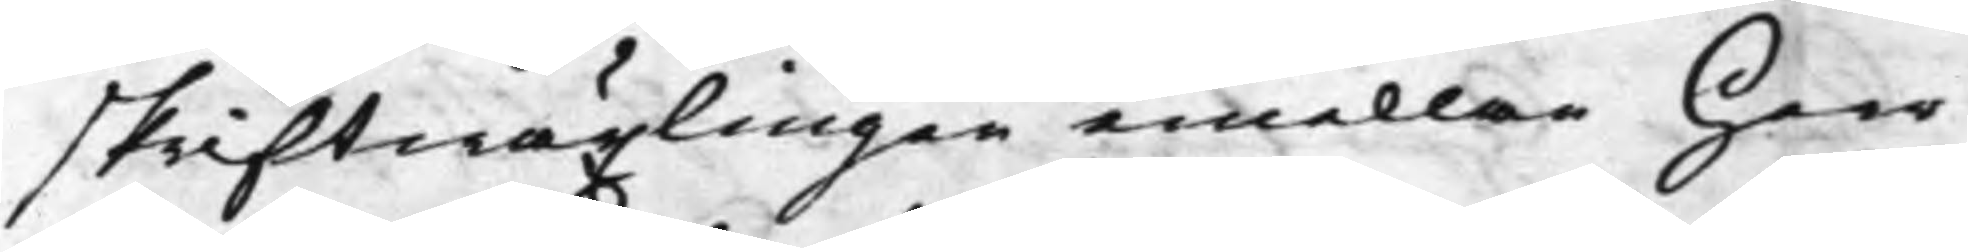skriftwäxlingen emellan Herr
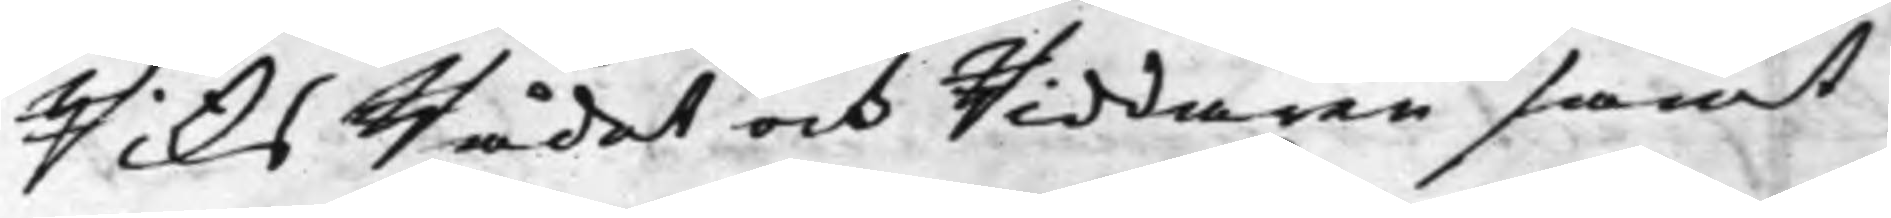RiksRådet och Riddaren samt
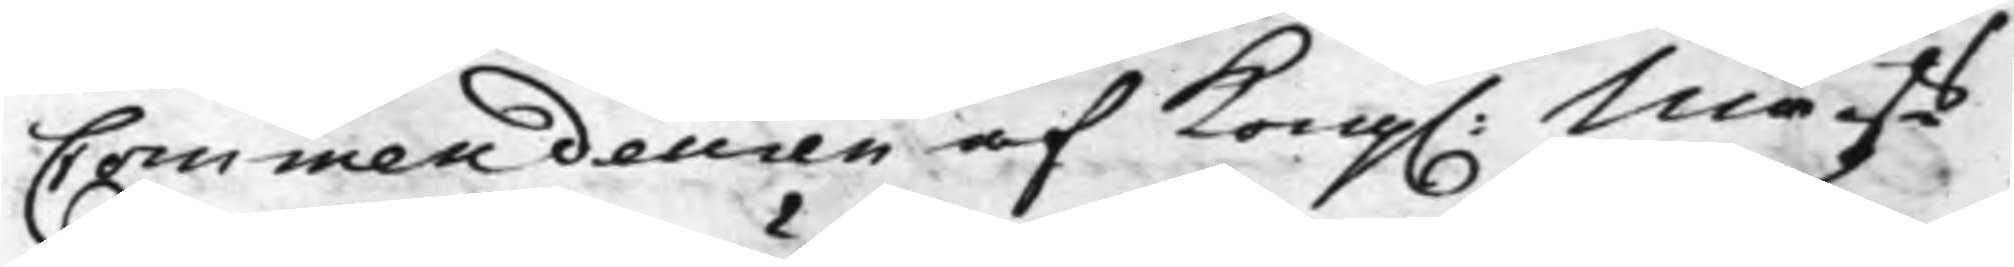Commendeuren af Kong. Maijts
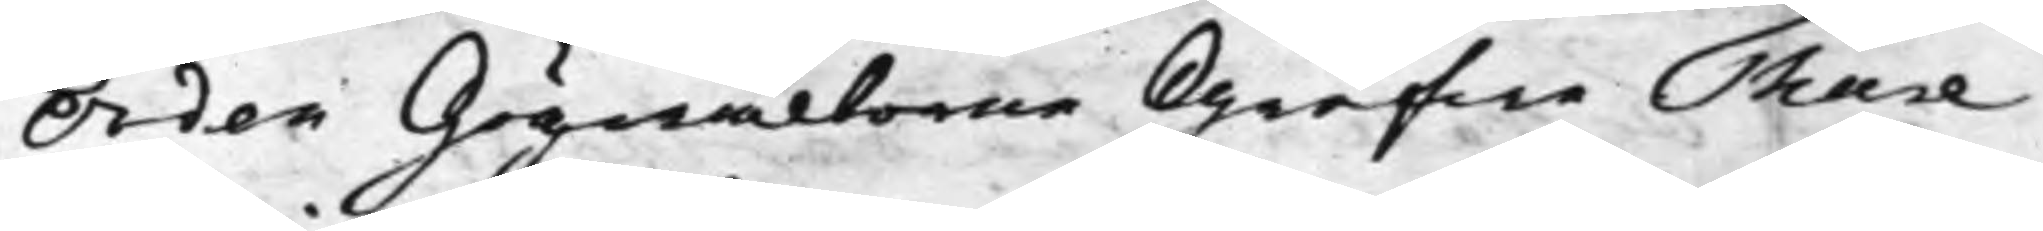Orden Högwälborne Grefwe Thure
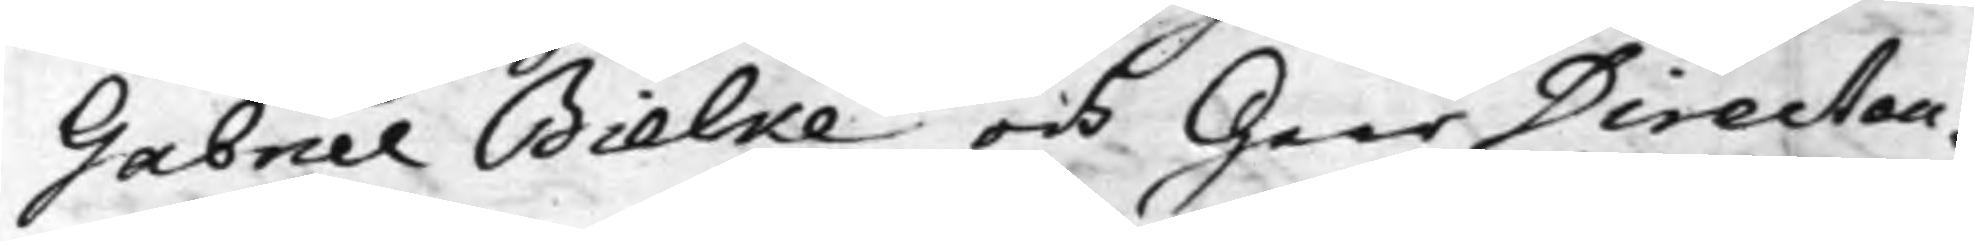Gabriel Bielke och Herr Directeu¬
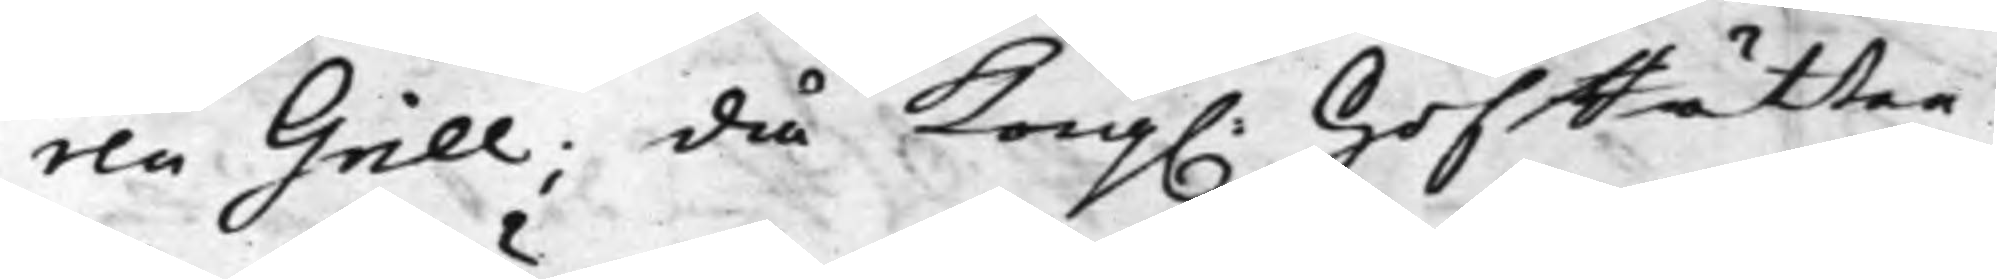ren Grill; då Kong. HofRätten
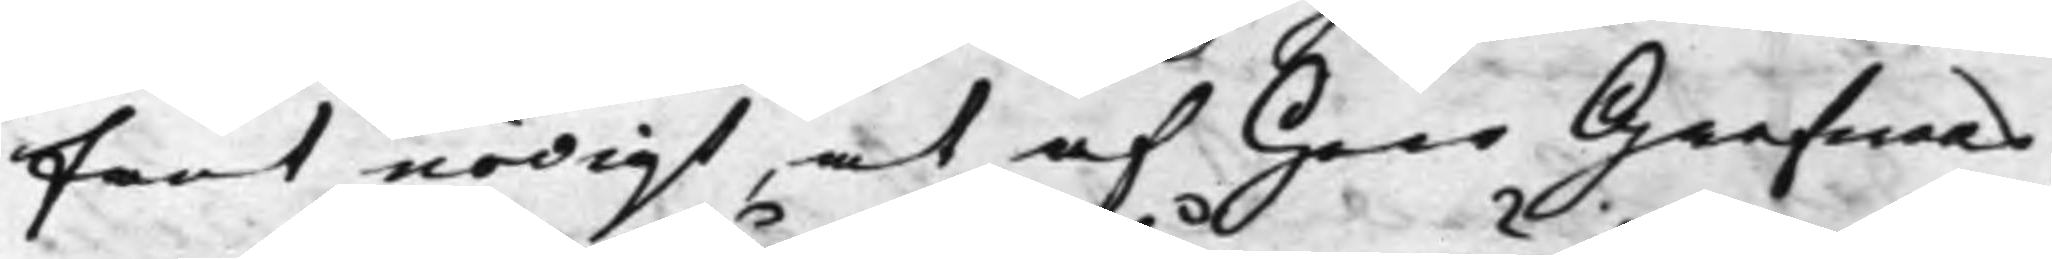fant nödigt, at af Herr Grefwens
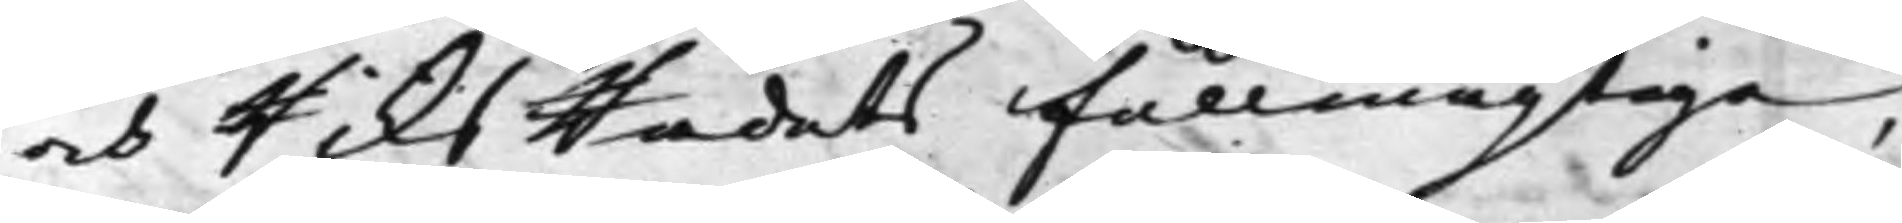och RiksRådets fullmägtige,
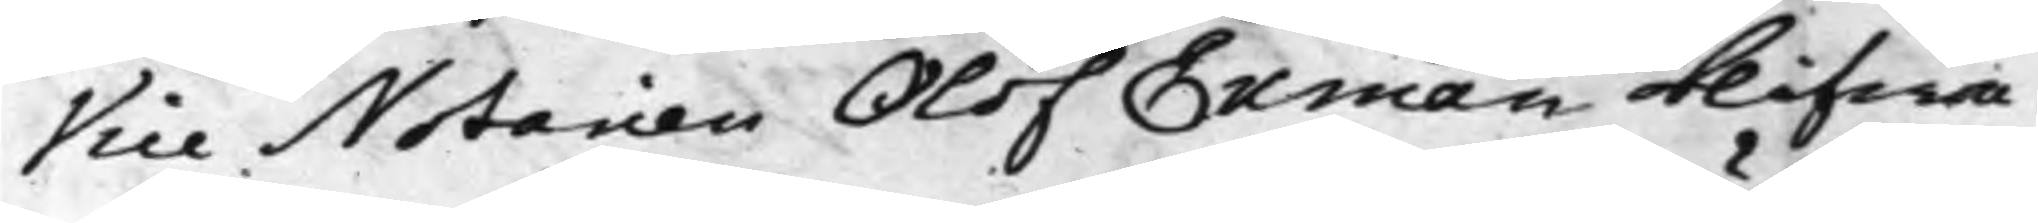Vice Notarien Olof Ekman blifwa
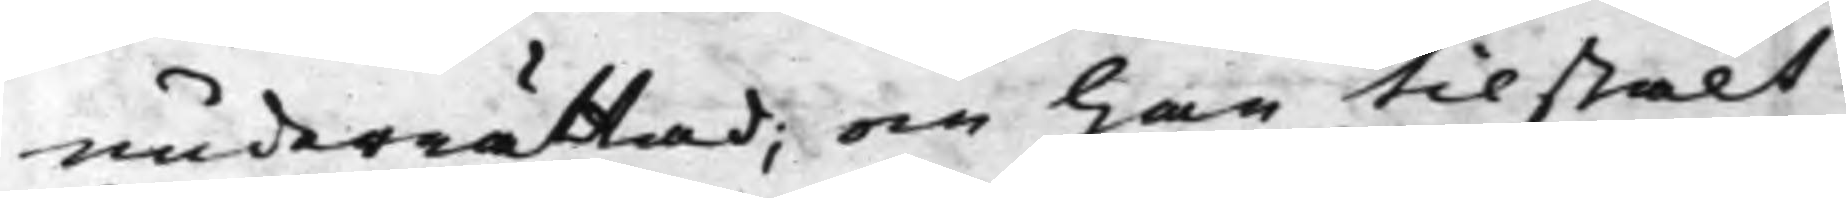underrättad; och han tilstält
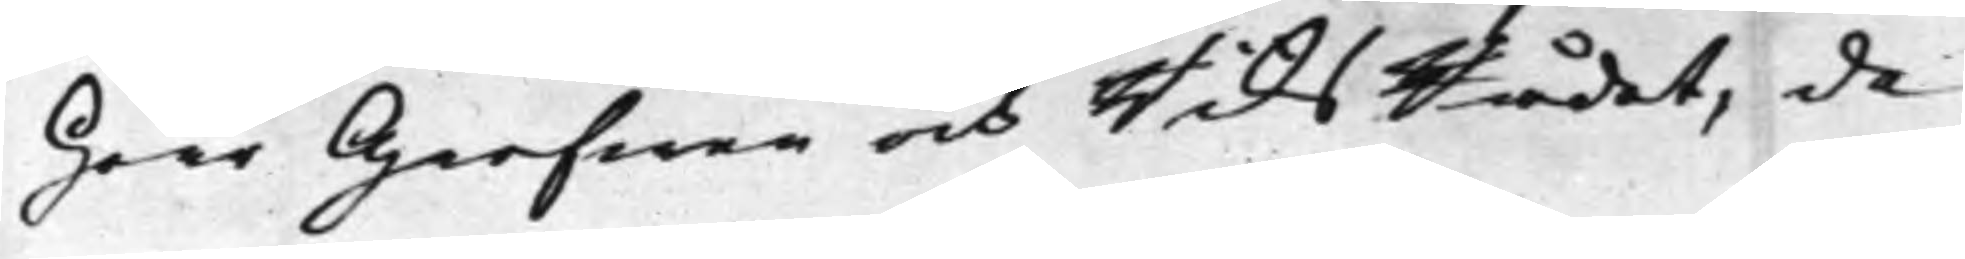Herr Grefwen och RiksRådet, de
